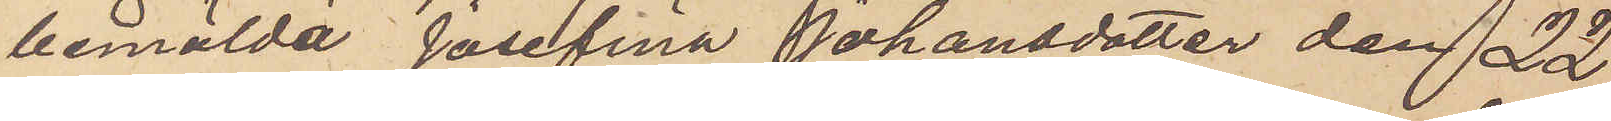bemälda Josefina Johansdotter den 22
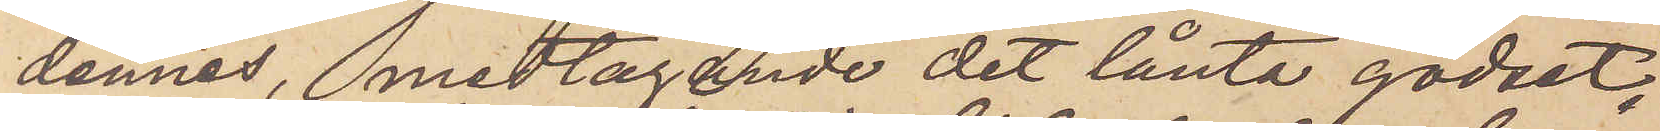dennes, medtagande det lånta godset,
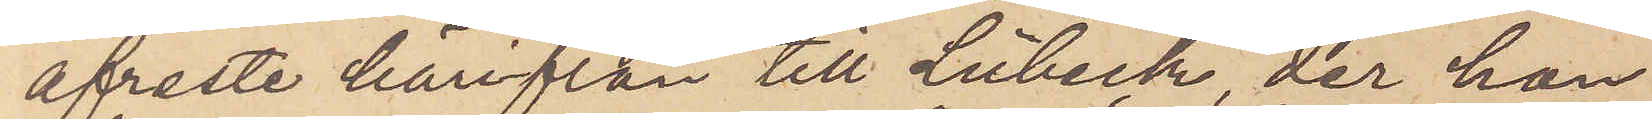afreste härifrån till Lübeck, der hon
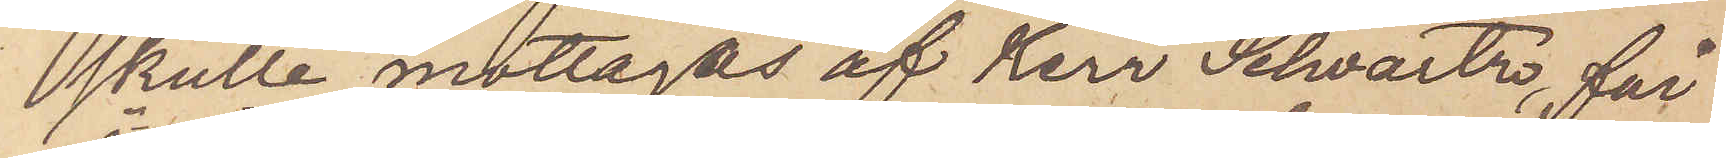skulle mottagas af Herr Schvartz, får
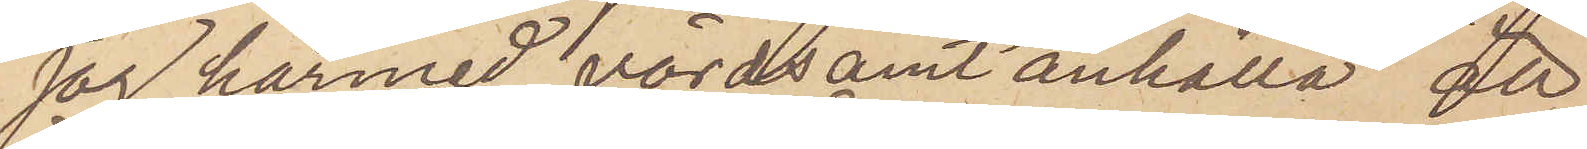jag härmed vördsamt anhålla att
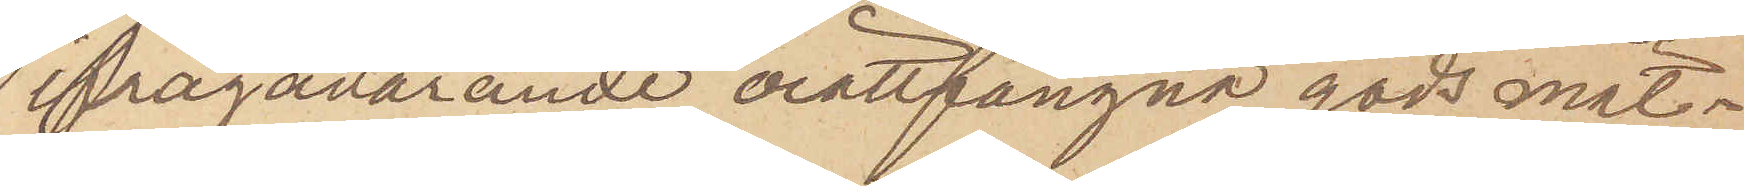ifrågavarande orättfångna gods måt¬
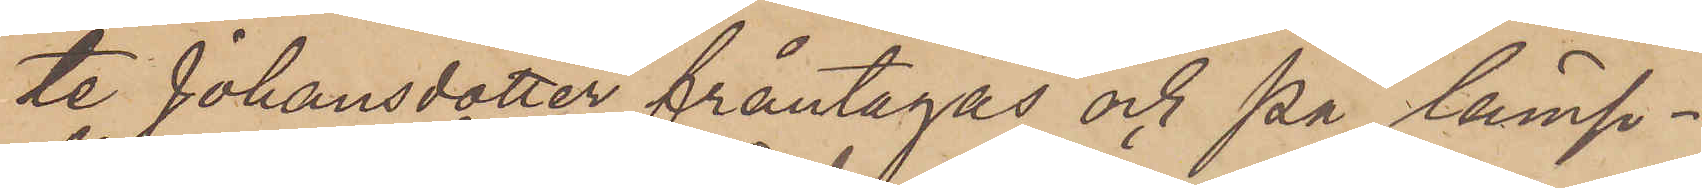te Johansdotter fråntagas och på lämp¬
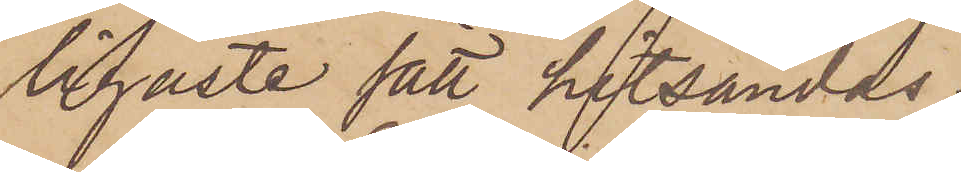ligaste sätt hitsändas.
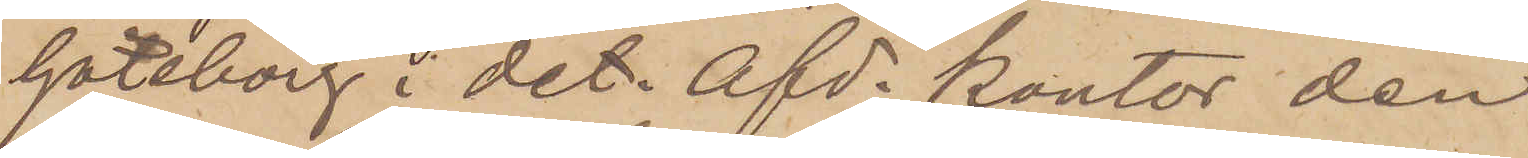Göteborg i det. afd. kontor den
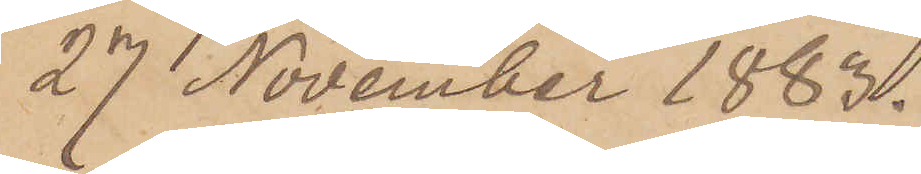27 November 1883.
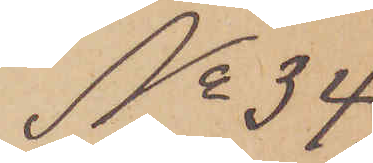No 34
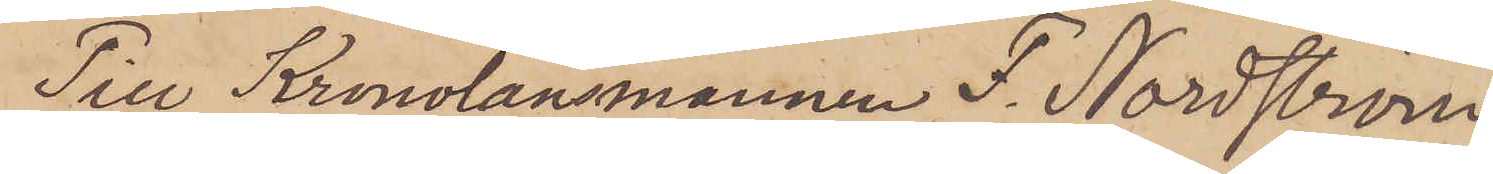Till Kronolänsmannen F. Nordström.
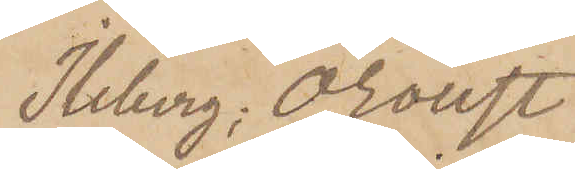Ileberg, Oroust.
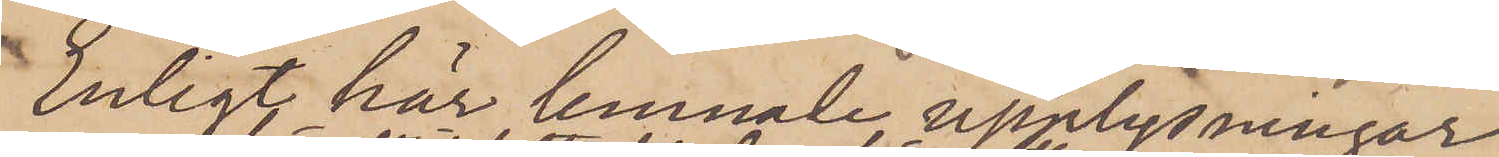Enligt här lemnade upplysningar
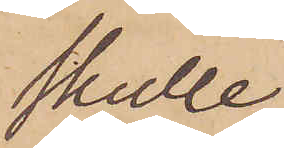skulle
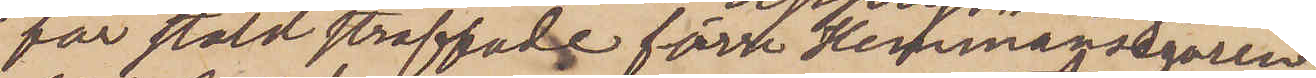för stöld straffade förre Hemmansegaren
